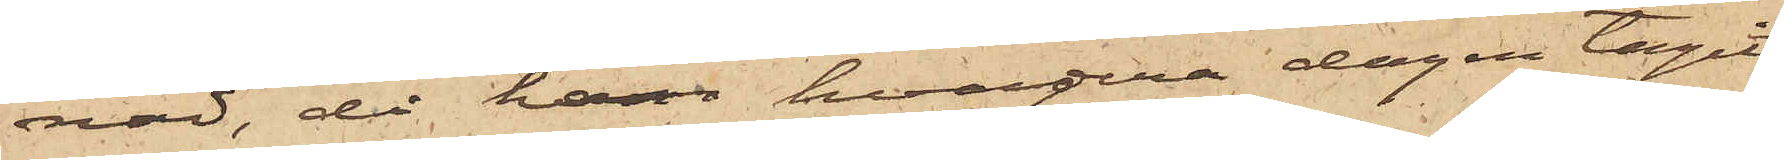nad, då han hvardera dagen tagit
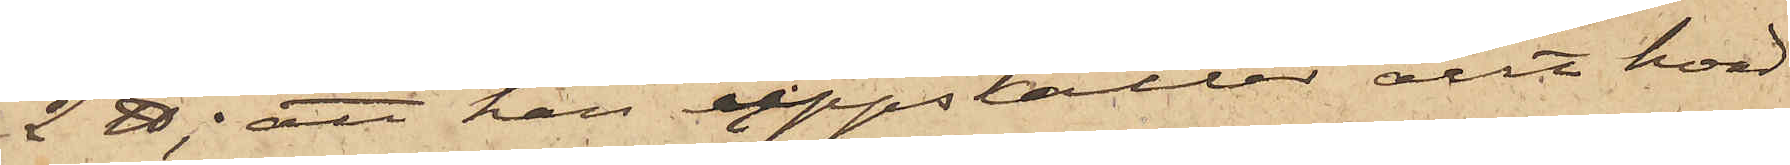2 ℔; att han uppskattar att han
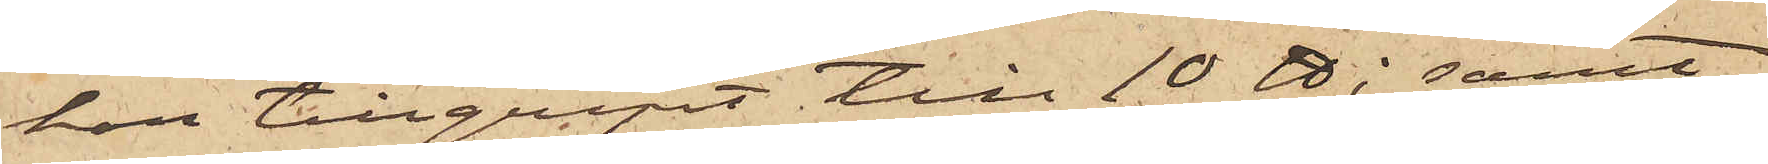har tillgripit till 10 ℔; samt
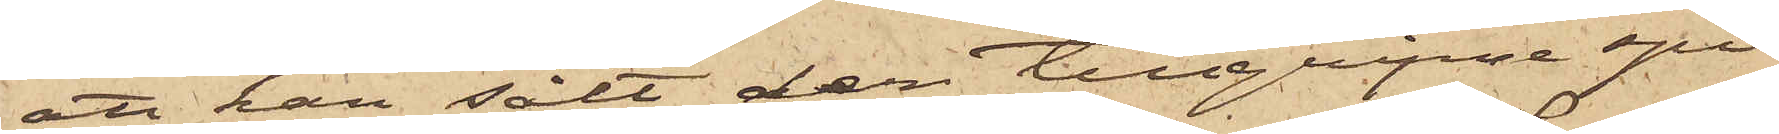att han sålt den tillgripne spi¬
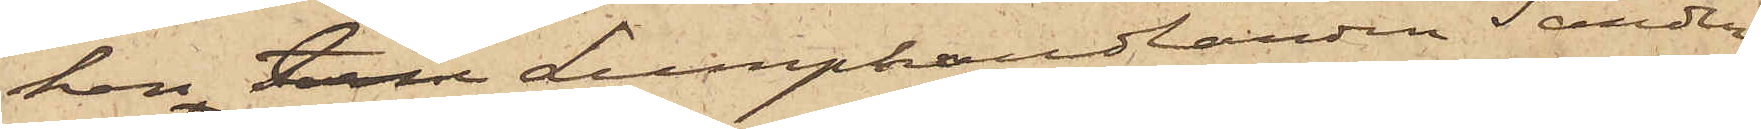ken till Lumphandlanden  Sandin,
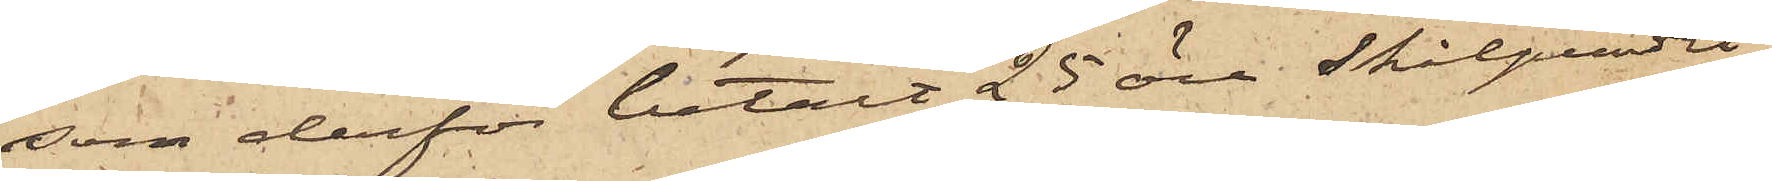som derför betalt 25 öre skålpundet
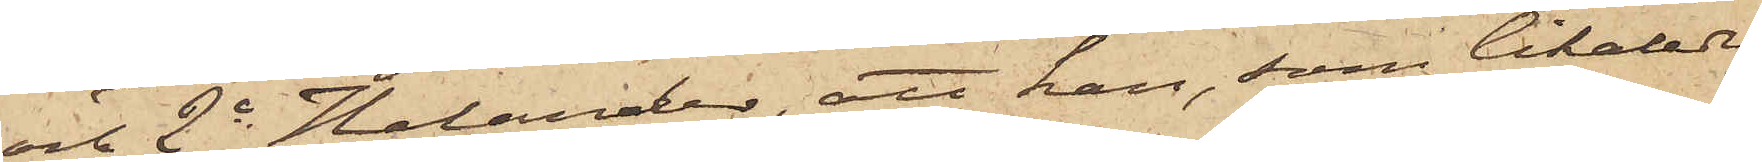och 2o Helander, att han, som likaledes
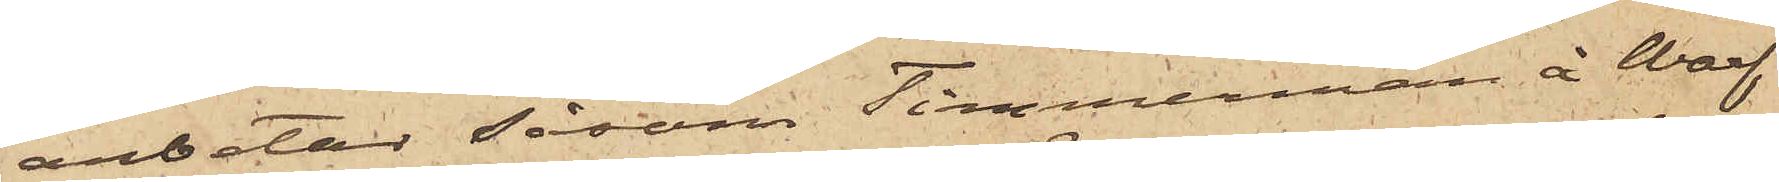arbetar såsom Timmerman å Waf¬
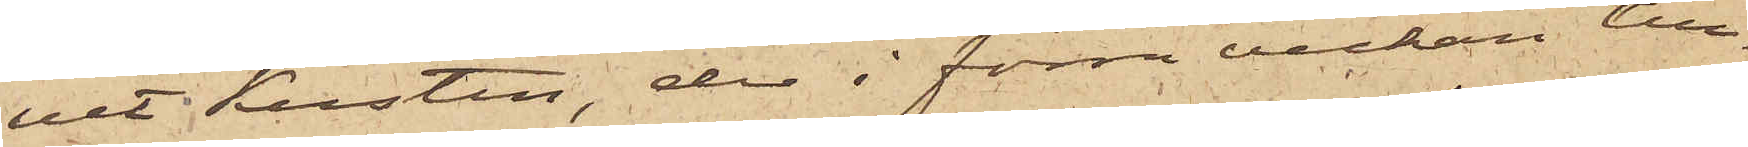vet Kusten, der i förra veckan till¬
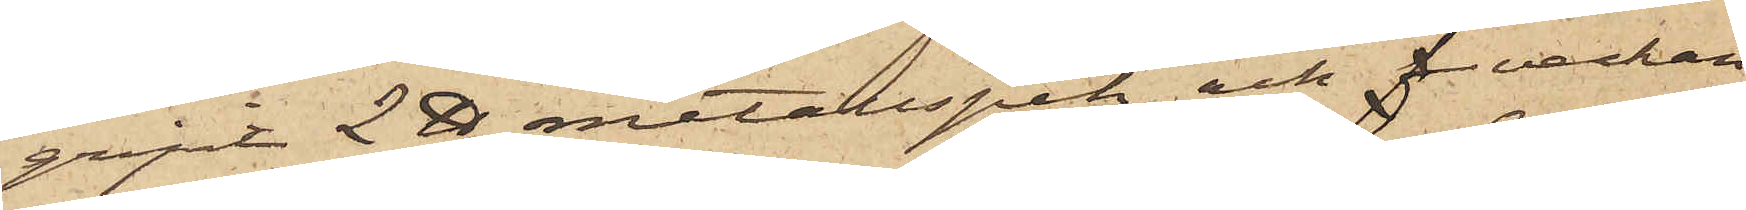gripit 2 ℔ metallspik och f veckan
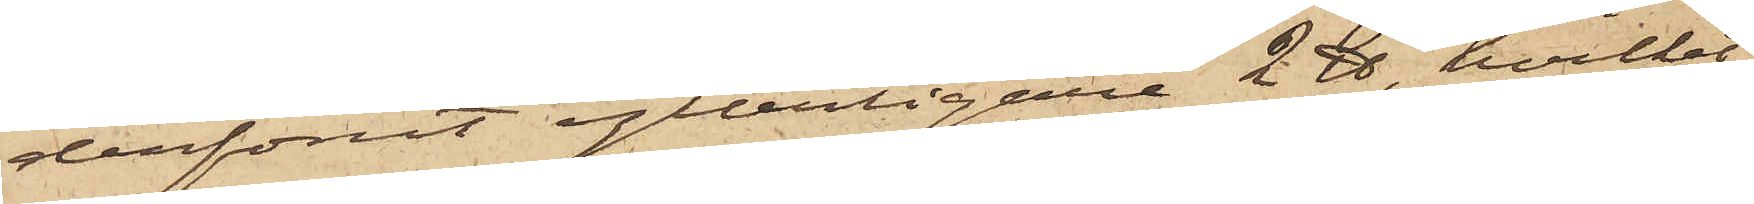derförut ytterligare 2 ℔, hvilket
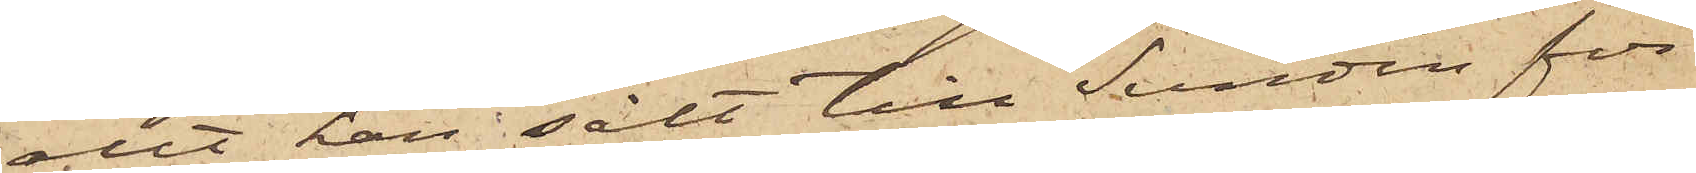allt han sålt till Sandin för¬
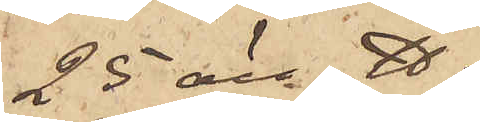25 öre ℔.
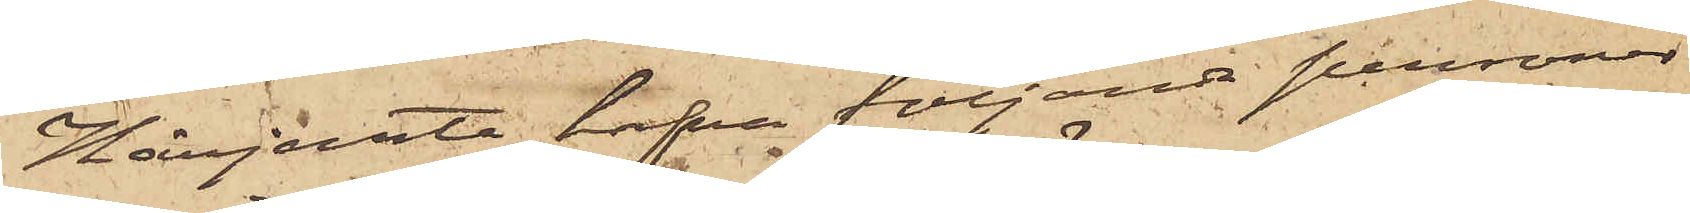Härjemte hafva följande personer
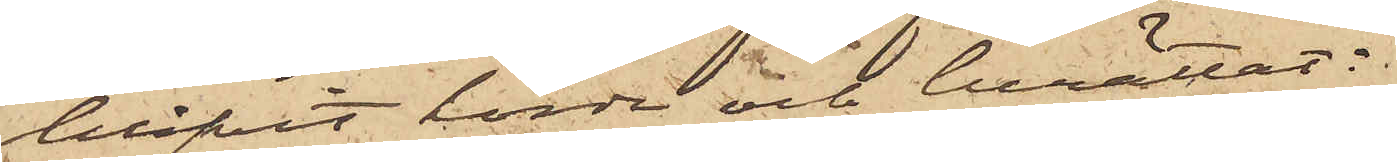blifvit hörda och berättat:
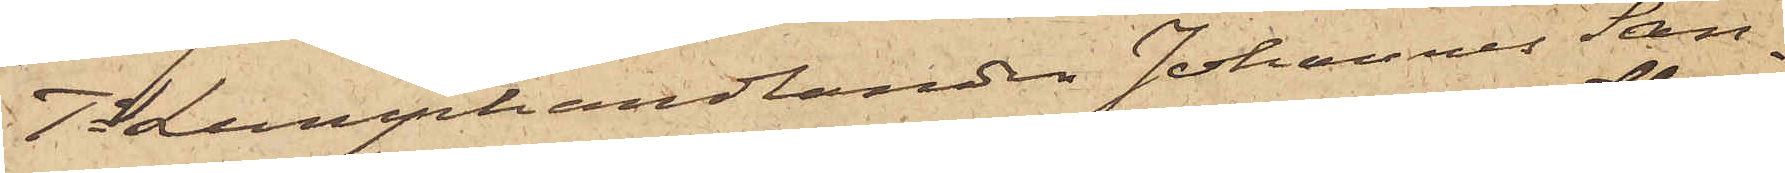1o Lumphandlanden Johannes San¬
